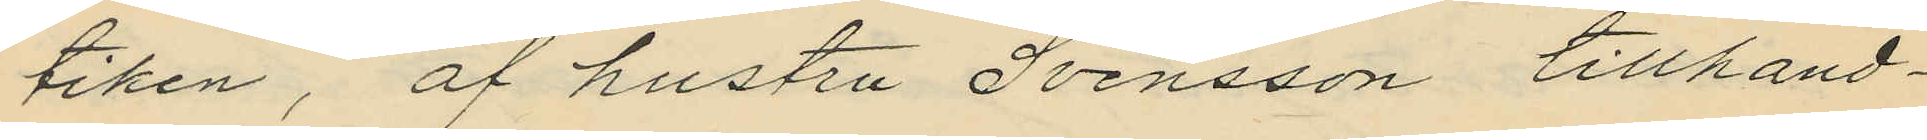tiken, af hustru Svensson tillhand¬
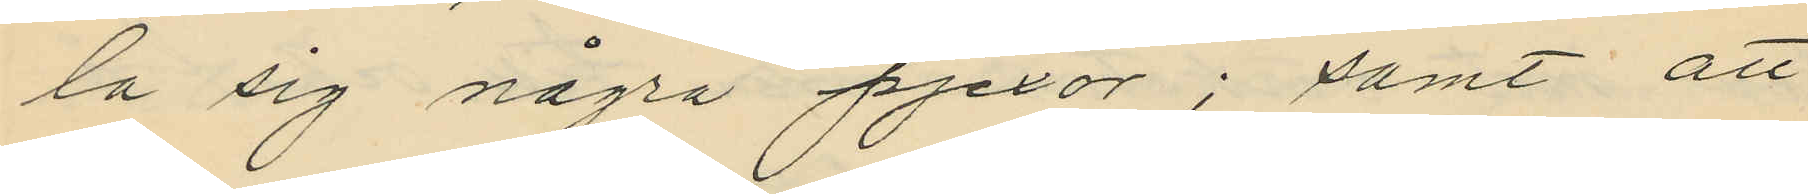la sig några pjexor; samt att
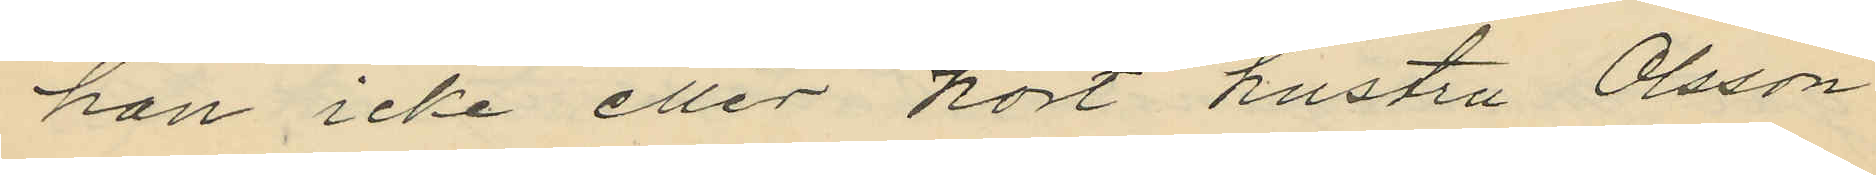han icke eller hört hustru Olsson
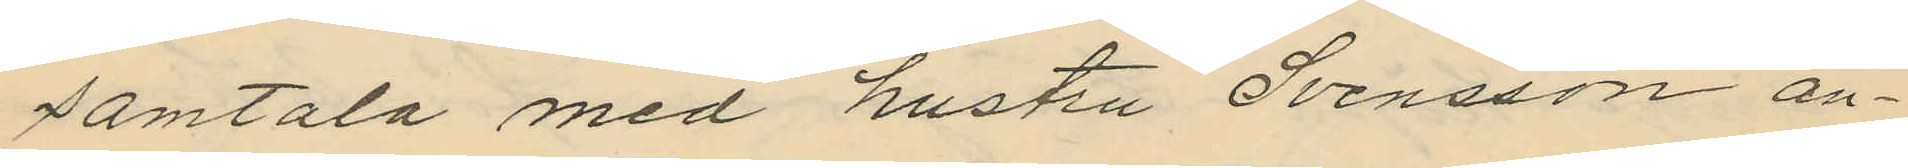samtala med hustru Svensson an¬
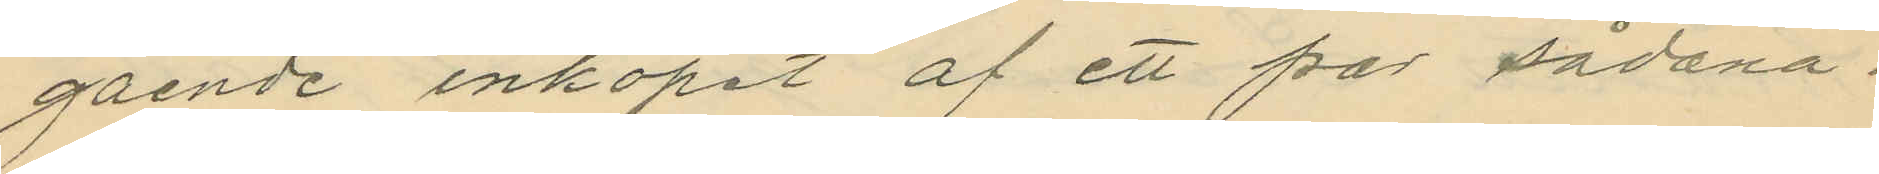gående inköpet af ett par sådana.
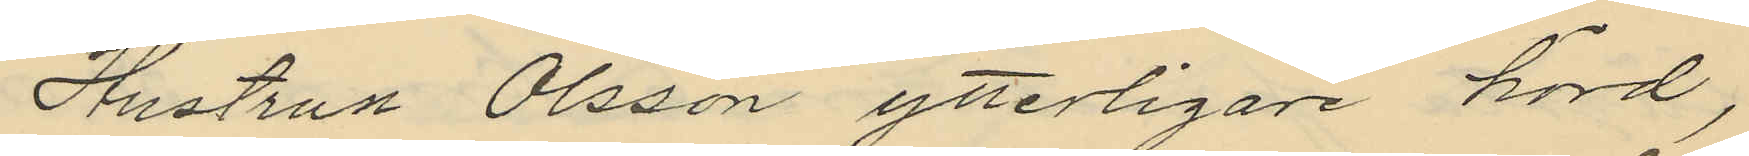Hustrun Olsson ytterligare hörd,
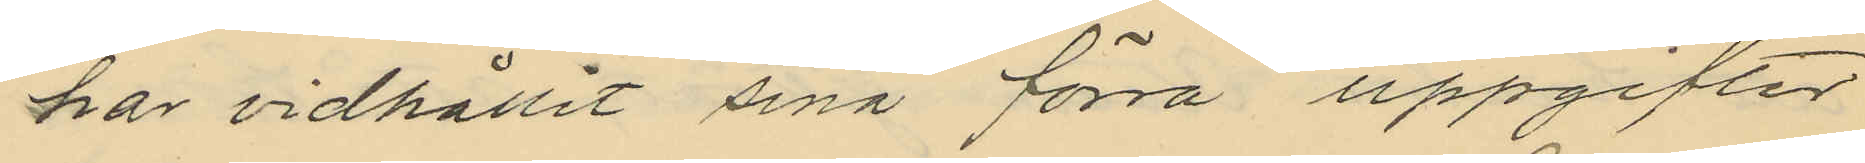har vidhållit sina förra uppgifter
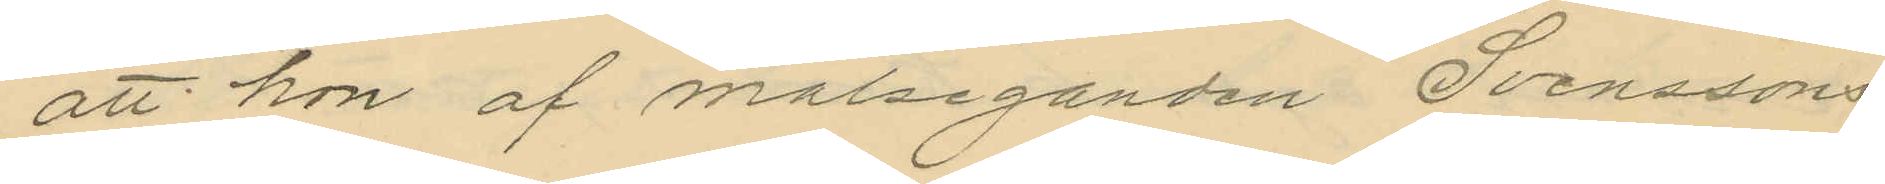att hon af målseganden Svenssons
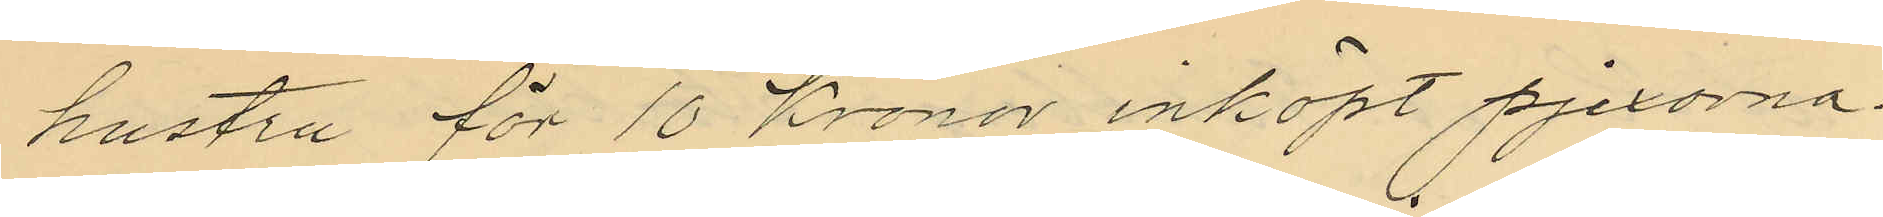hustru för 10 Kronor inköpt pjexorna.
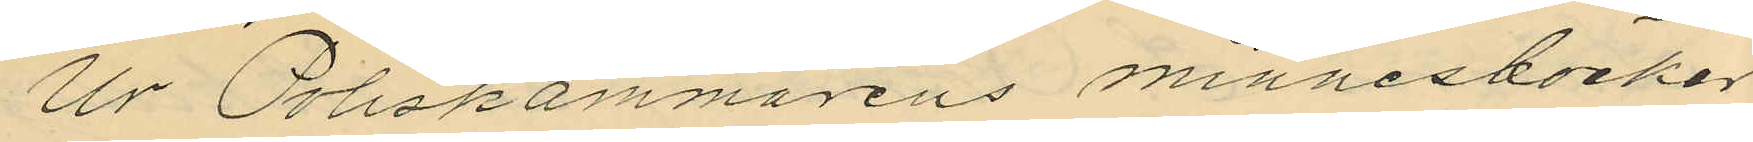Ur Poliskammarens minnesböcker
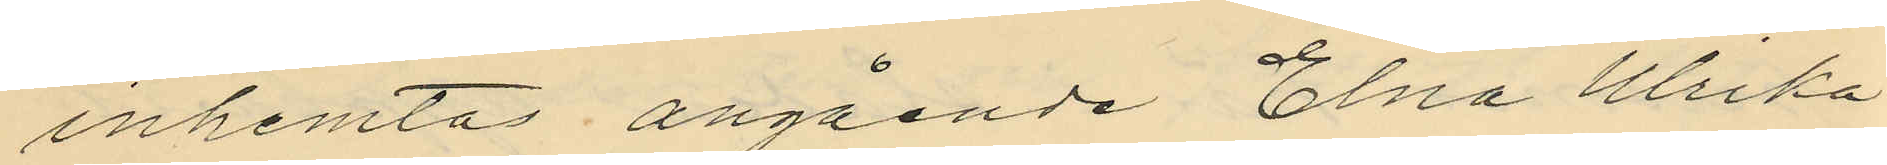inhemtas angående Elna Ulrika
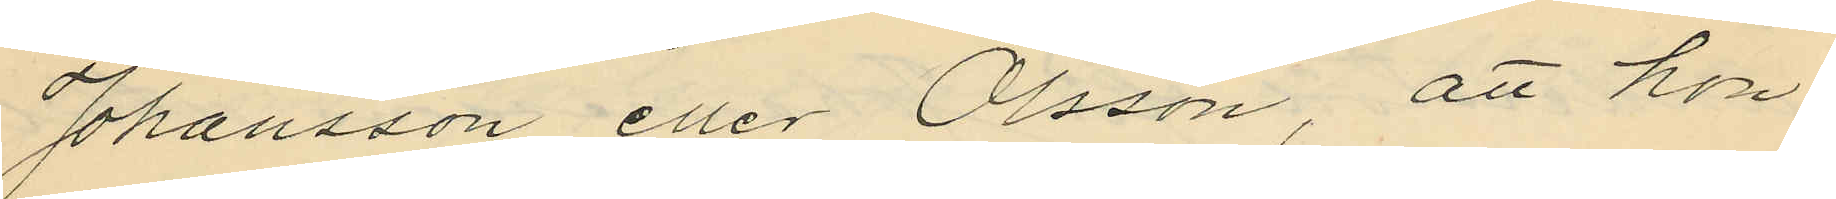Johansson eller Olsson, att hon
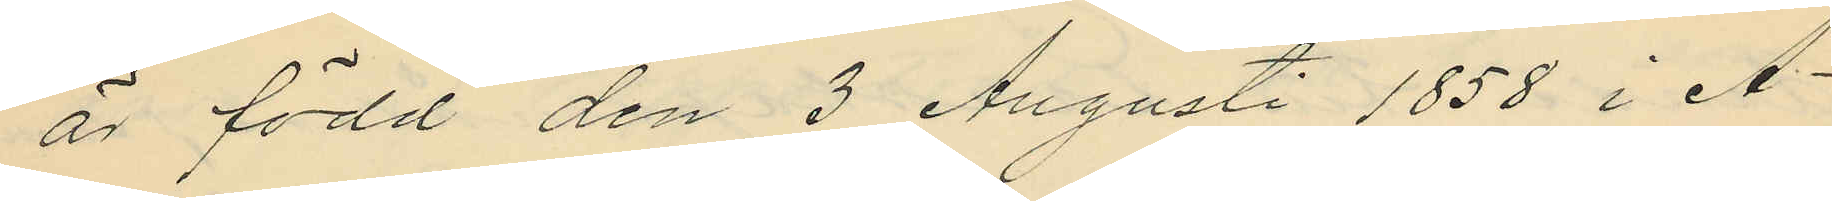är född den 3 Augusti 1858 i Å¬
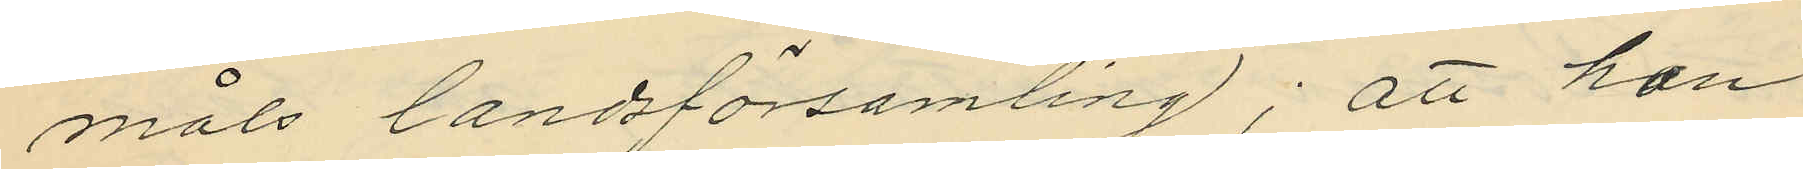måls landsförsamling; att hon
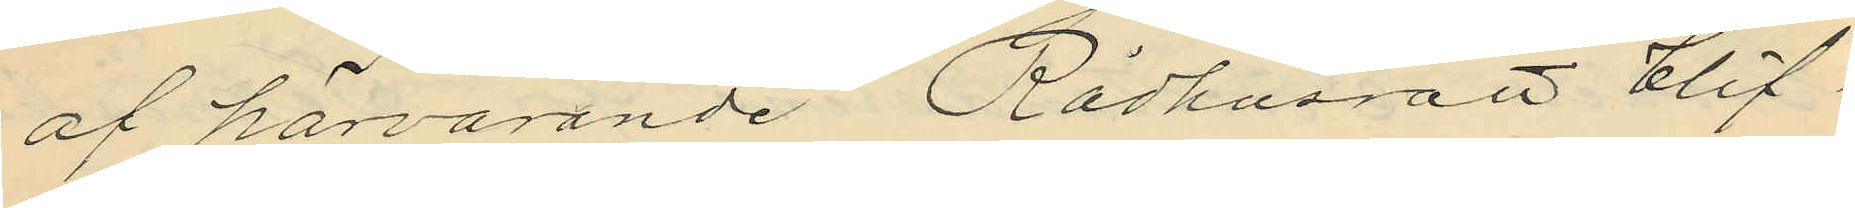af härvarande Rådhusrätt blif¬
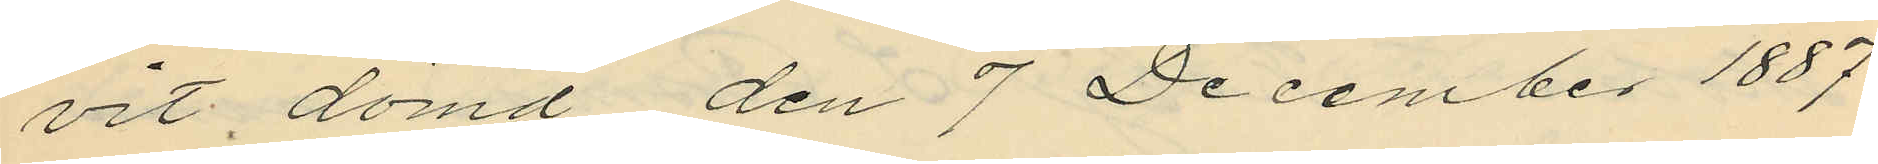vit dömd den 7 December 1887
